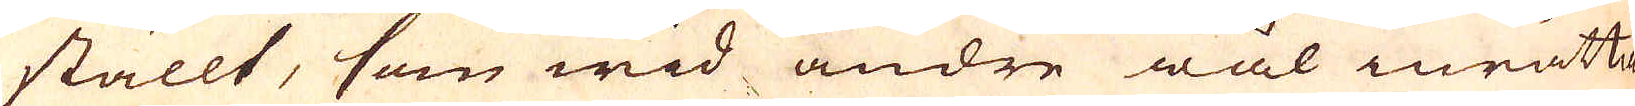ställt, som wid andre wäl inrätta-
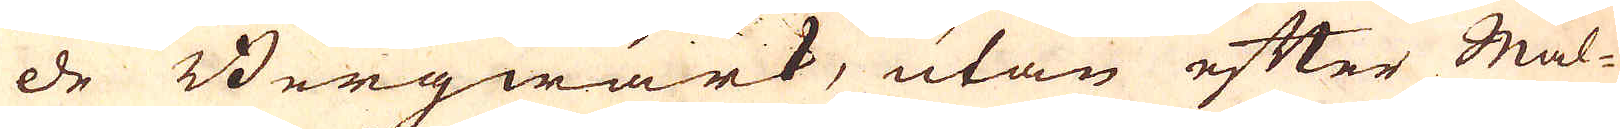de Bergwärk, utan efter Mal-
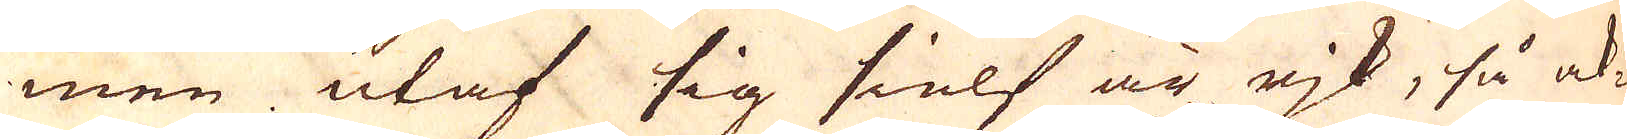men utaf sig sielf är rjk, så ak-
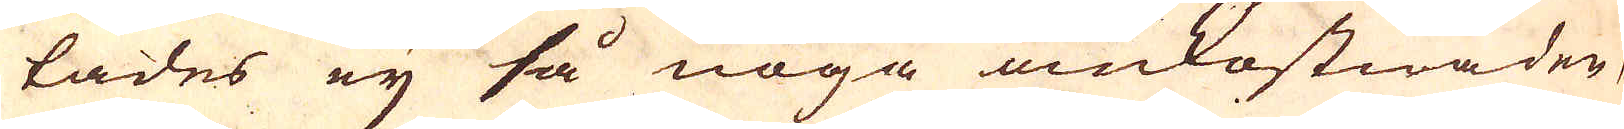tades eij så noga omkostnader,
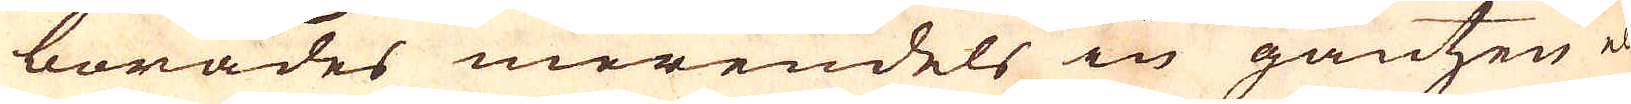borades merendels in gantzen el-
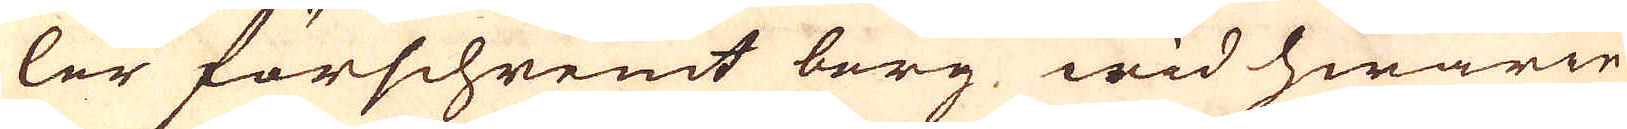ler förschremt berg, wid hwarie
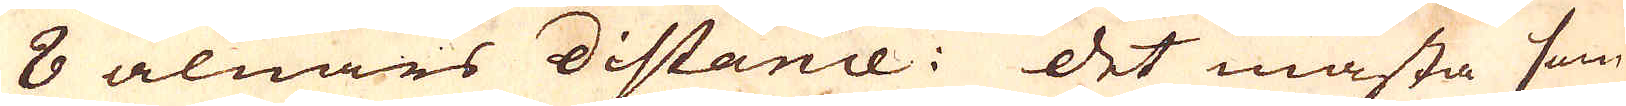8 alnars distance. Det mästa som
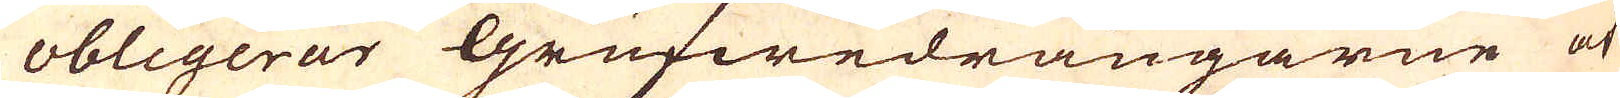obligerar Grufwedrängarne at
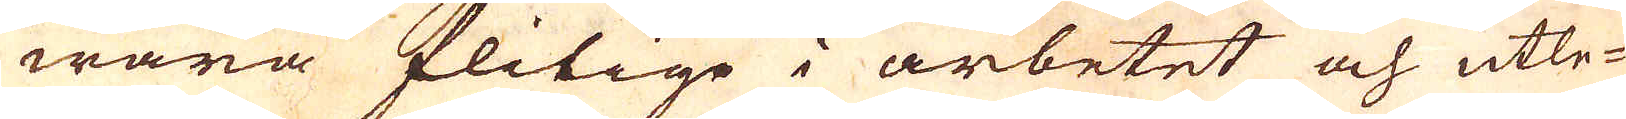wara flitige i arbetet och utle-
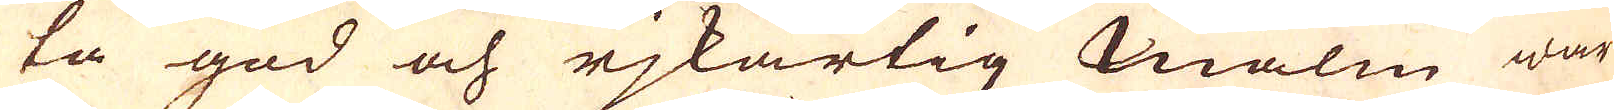ta god och rjkartig Malm war
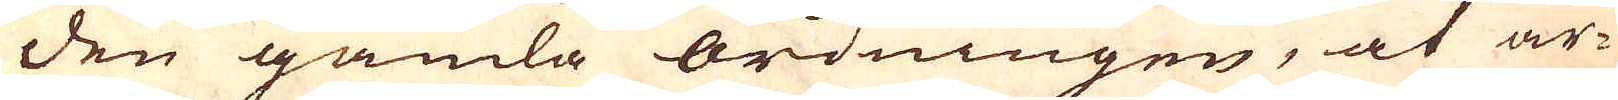den gamla ordningen, at ar-
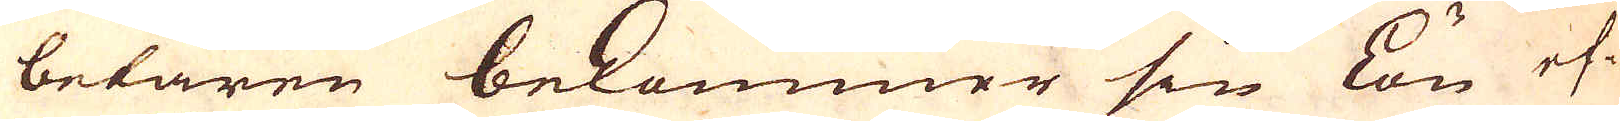betaren bekommer sin lön ef-
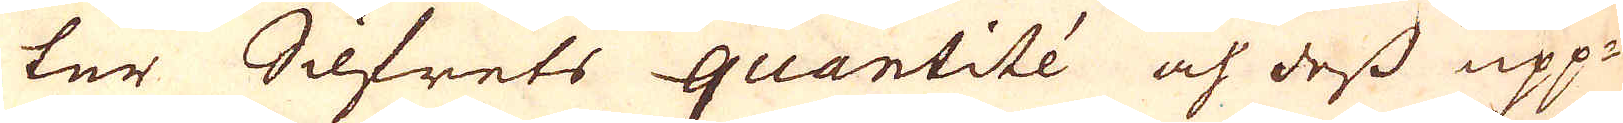ter Silfrets quantité och dess upp-
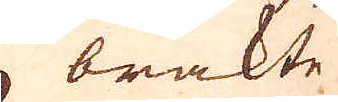brakte
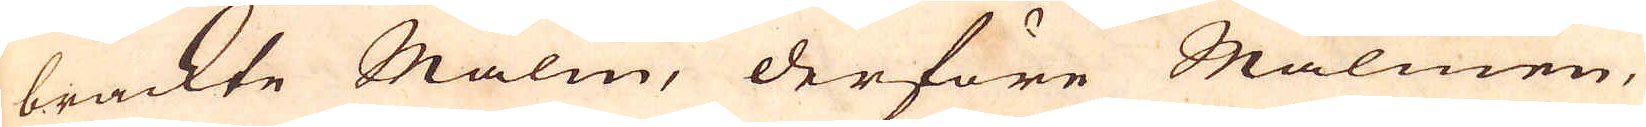brackte Malm, derföre Malmen,
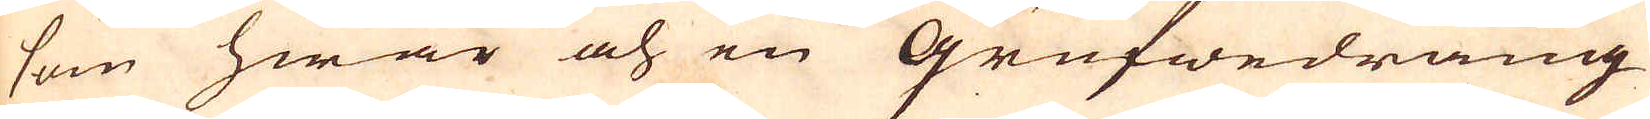som hwar och en Grufwedräng
